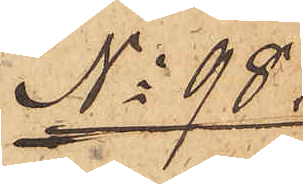No 98
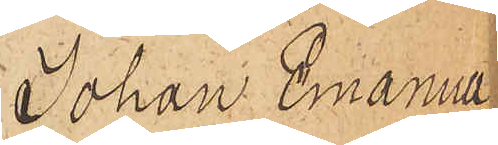Johan Emanuel
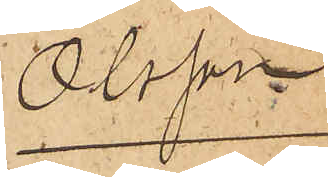Olsson
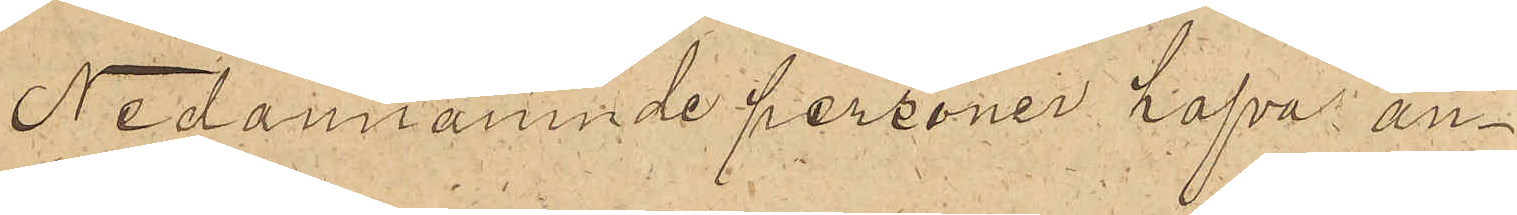Nedannämnde personer hafva an¬
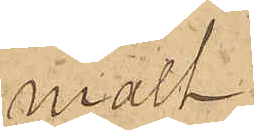mält
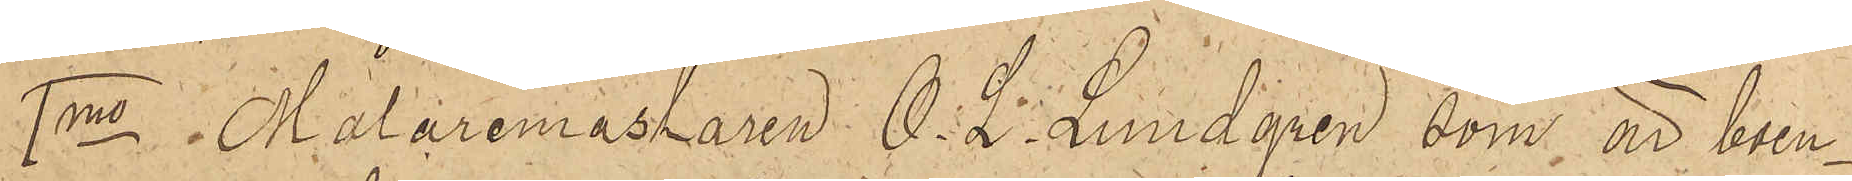1mo i Målaremästaren O. L. Lundgren som är boen¬
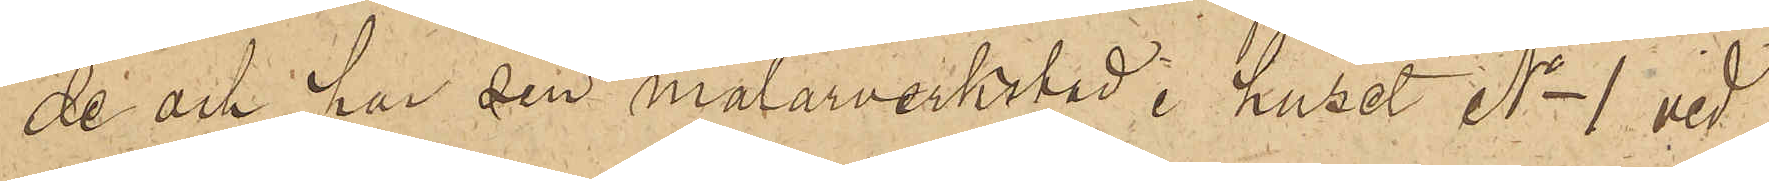de och har sin målarverkstad i huset No 1 vid
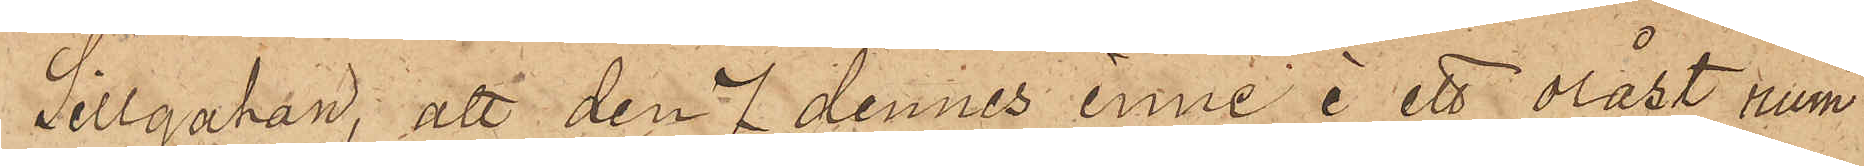Sillgatan; att den 7 dennes inne i ett olåst rum
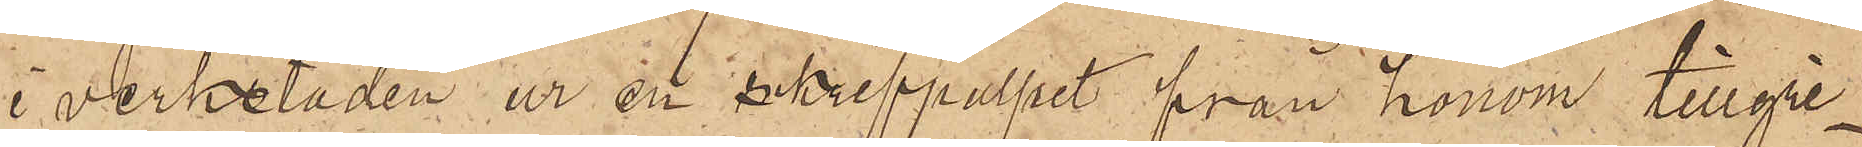i verkstaden ur en skrivpulpet från honom tillgri¬
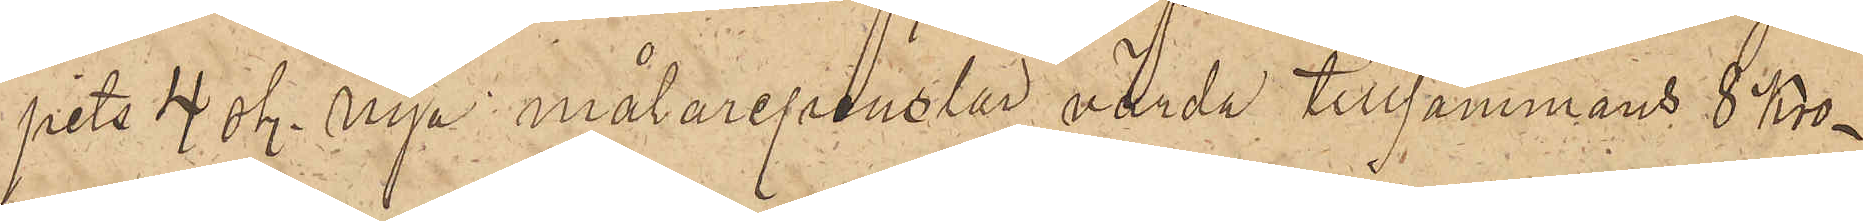pits 4 sty. nya målarepenslar, värda tillsammans 8 Kro¬
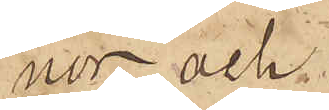nor, och
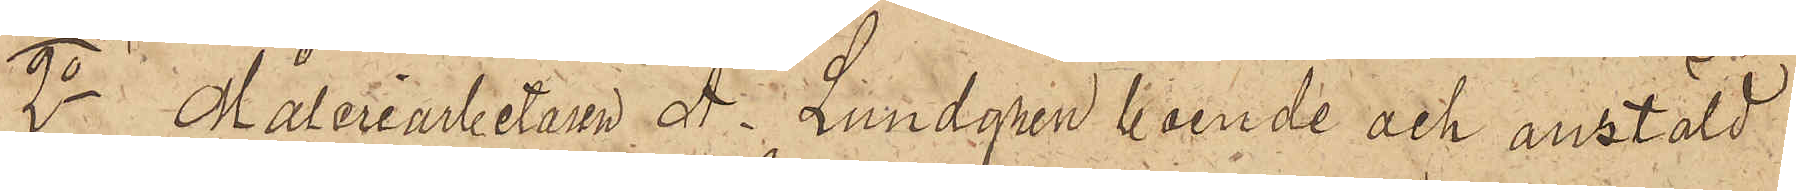2o Måleriarbetaren A. Lundgren boende och anstäld
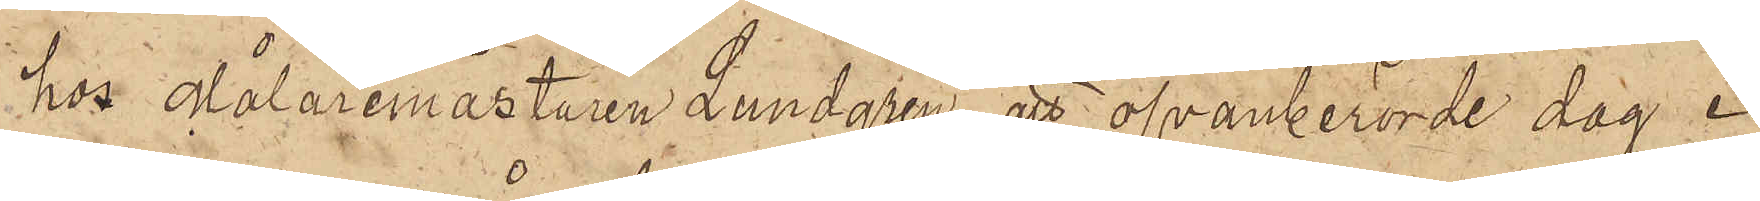hos Målaremästaren Lundgren, att ofvanberörde dag i
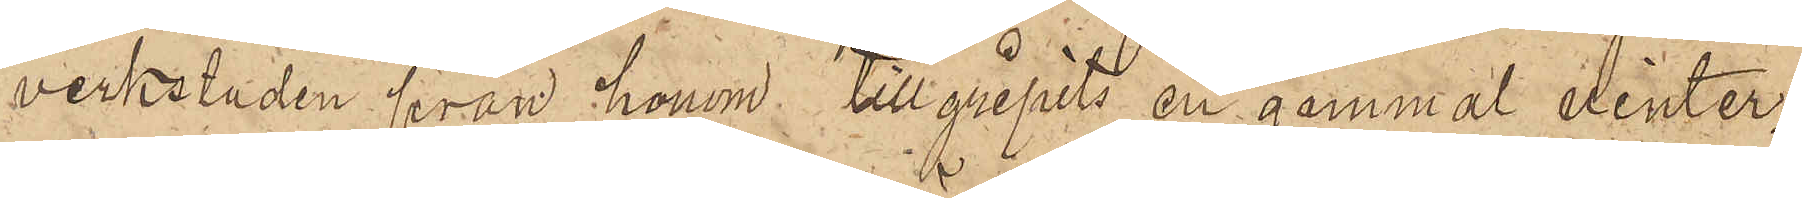verkstaden från honom tillgripits en gammal vinter¬
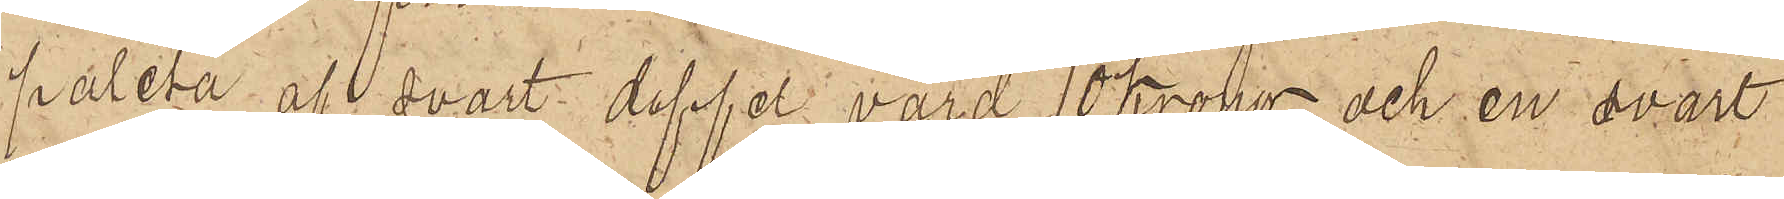paletå af svart doffel, värd 12 Kronor och en svart
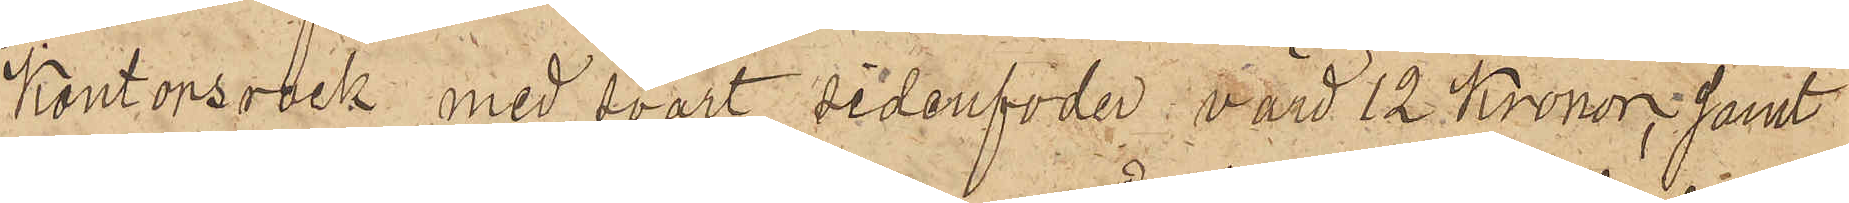Kontorsrock med svart sidenfoder, värd 12 Kronor; samt
